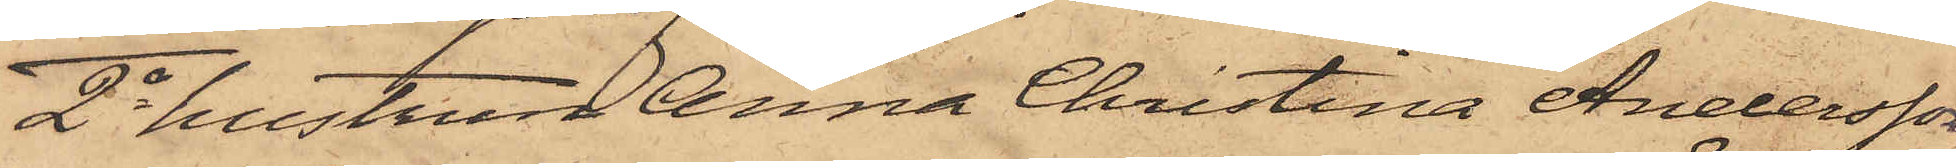2o hustrun Anna Christina Andersson
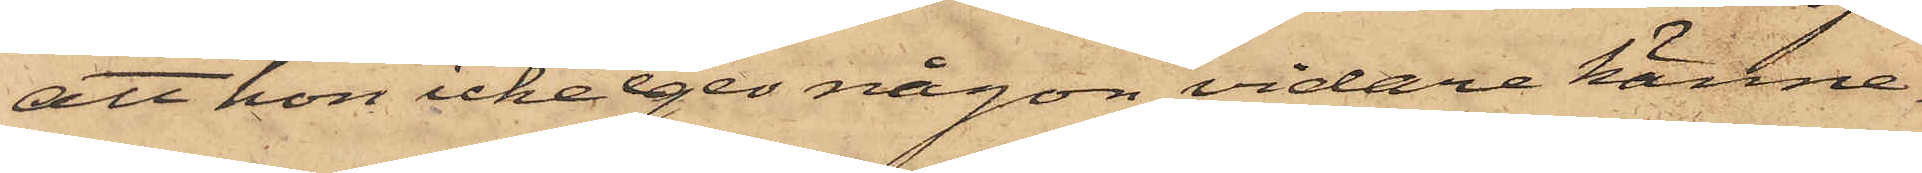att hon icke eger någon vidare känne¬
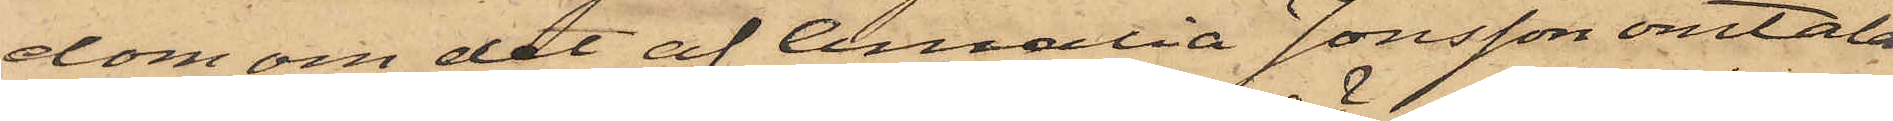dom om det af Amalia Jonsson omtala¬
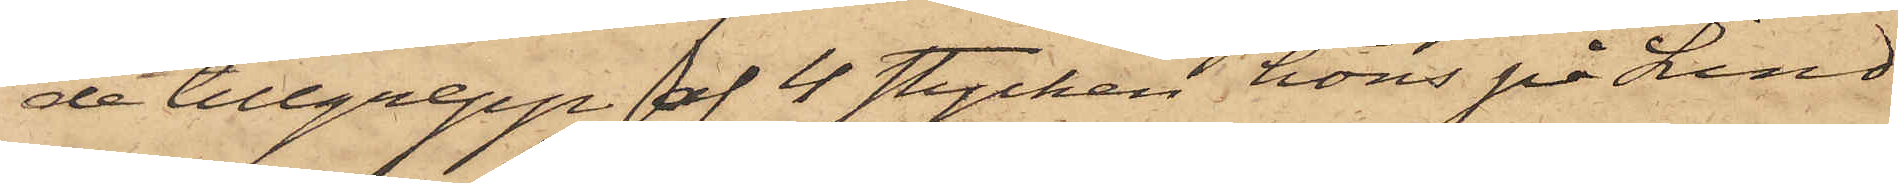de tillgrepp af 4 stycken höns på Lind¬
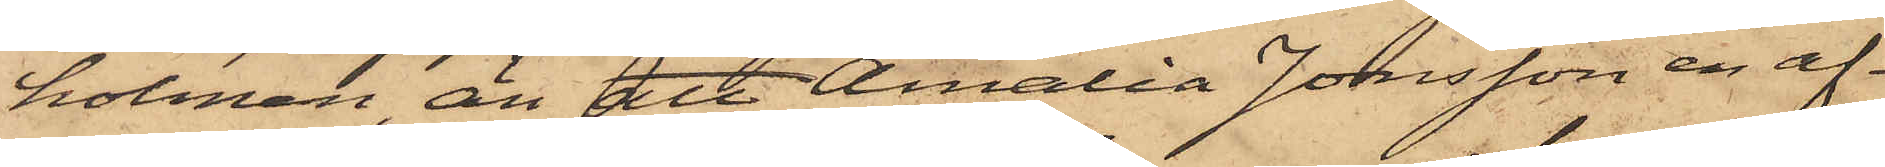holmen, än att Amalia Jonsson en af¬
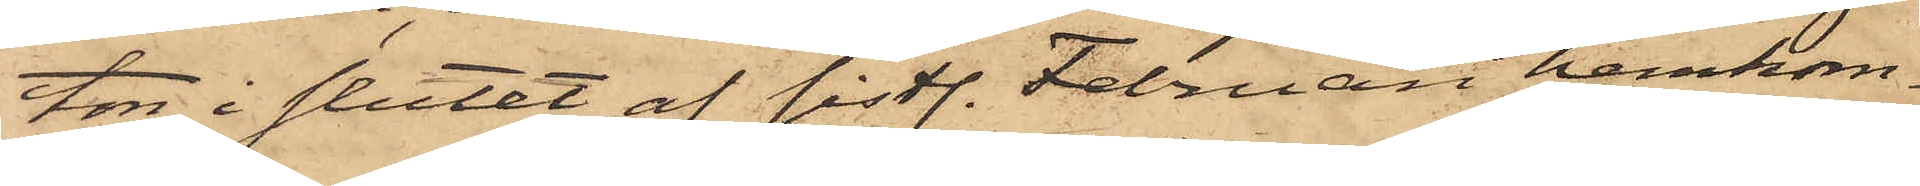ton i slutet af sistl. Februari hemkom¬
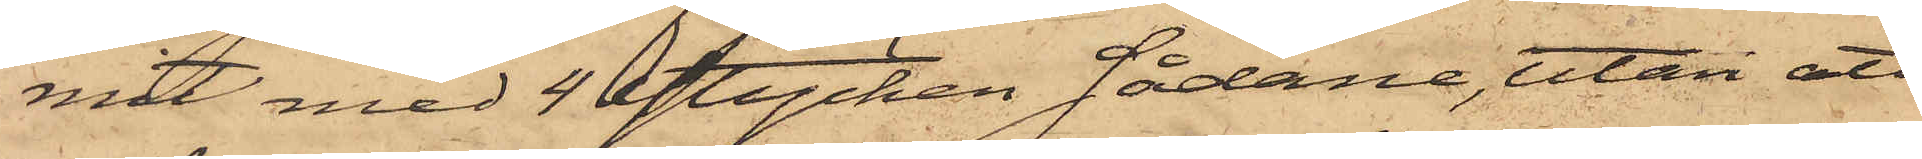mit med 4 stycken Sådana, utan att
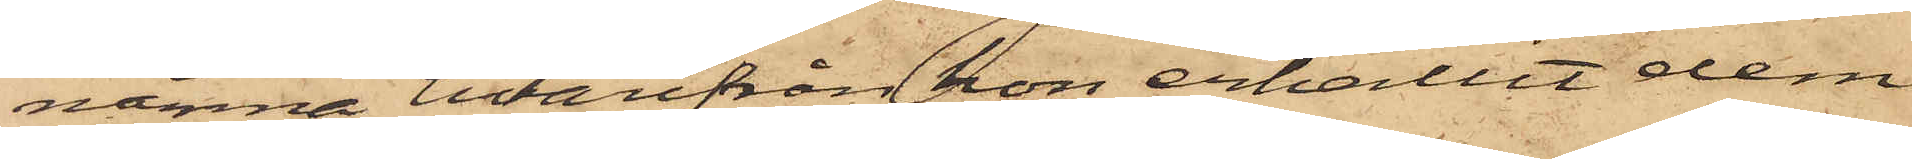nämna hvarifrån hon erhållit dem
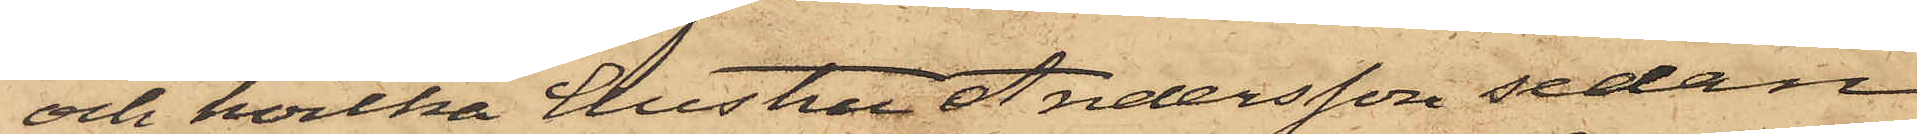och hvilka hustru Andersson sedan
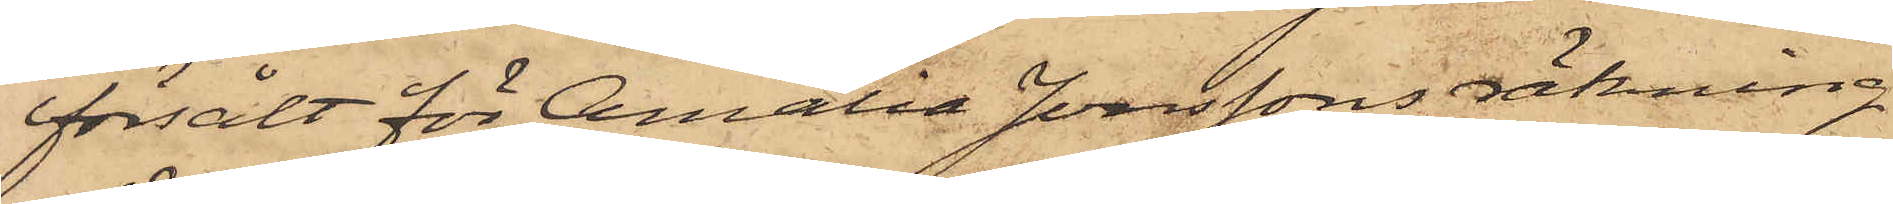försålt för Amalia Jonssons räkning
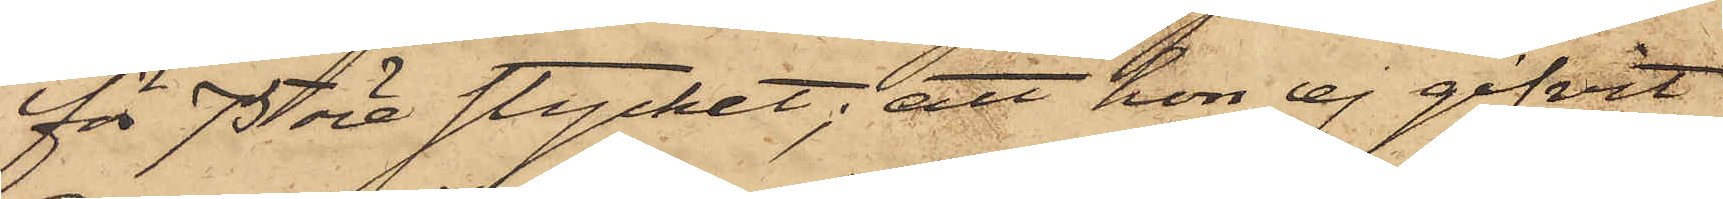för 75 öre stycket; att hon ej gifvit
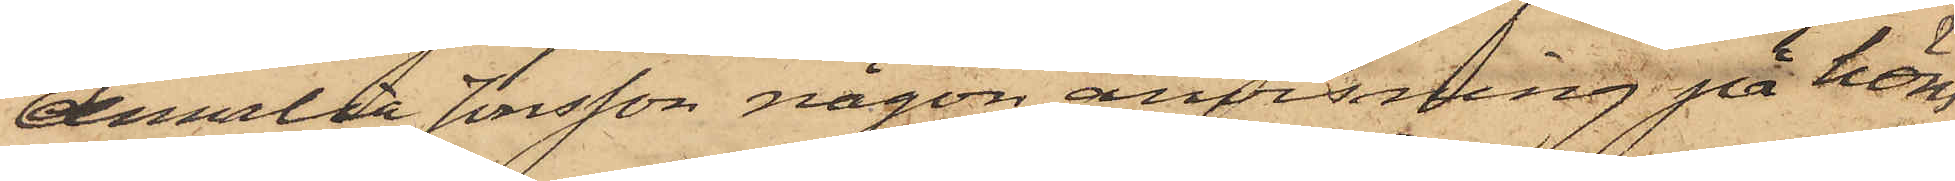Amalia Jonsson någon anvisning på höns
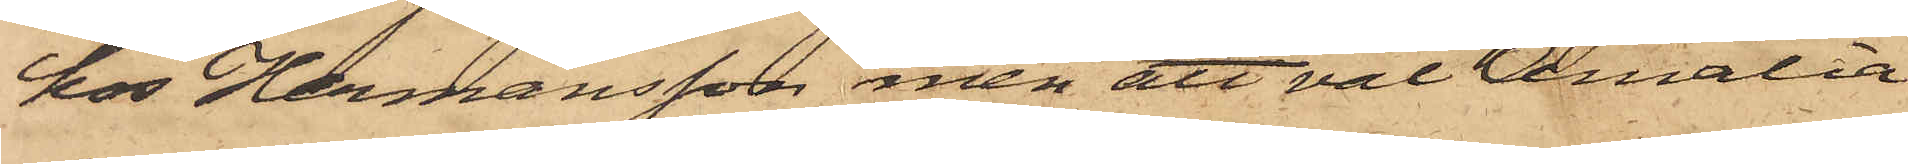hos Hermansson men att väl Amalia
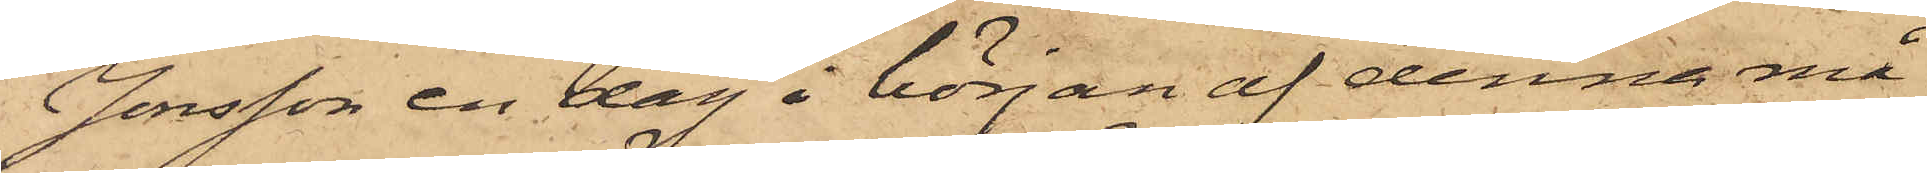Jonsson en dag i början af denna må¬
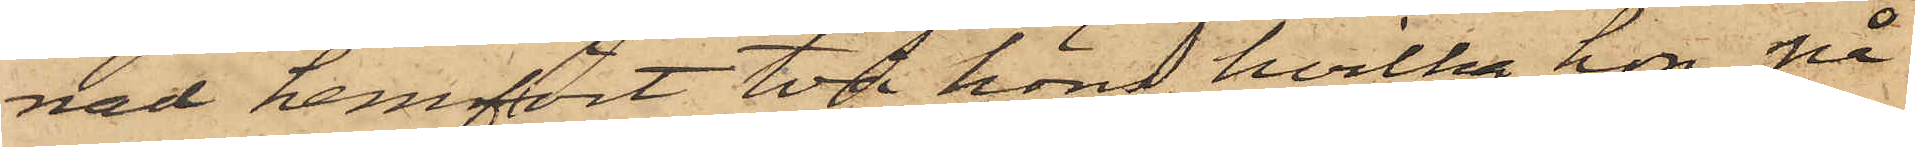nad hemfört två höns, hvilka hon på
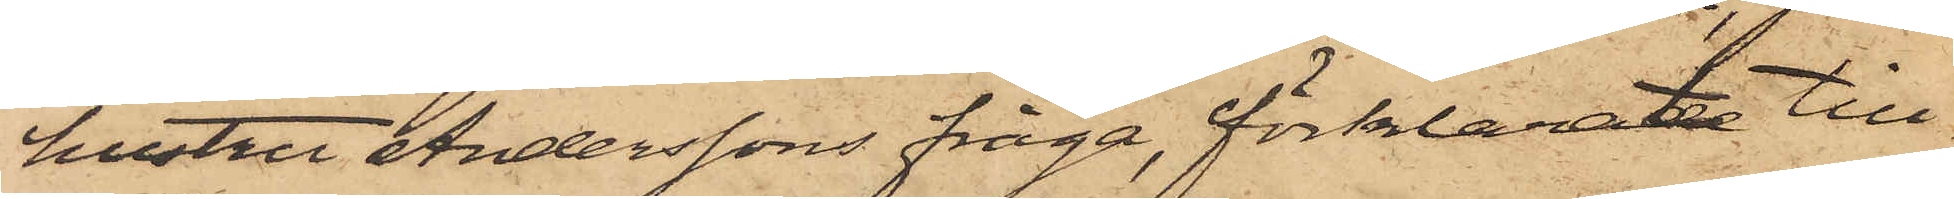hustru Anderssons fråga, förklarat till¬
